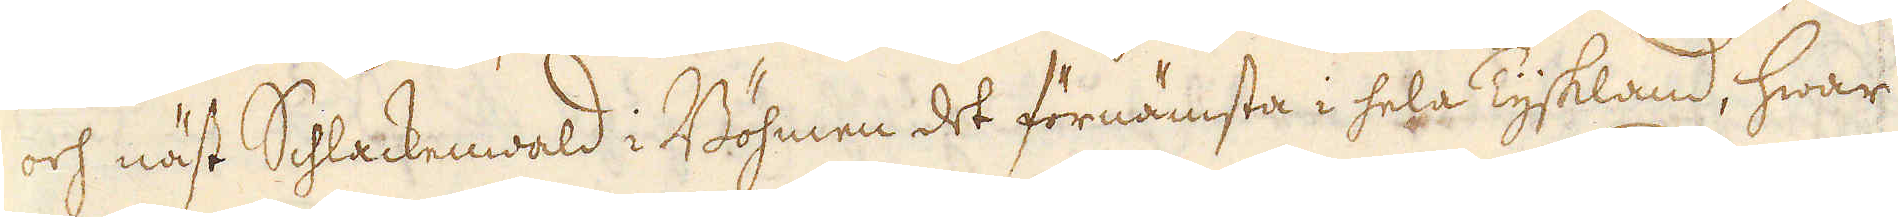och näst Schlackenwald i Böhmen det förnämsta i hela Tyskland, hwar
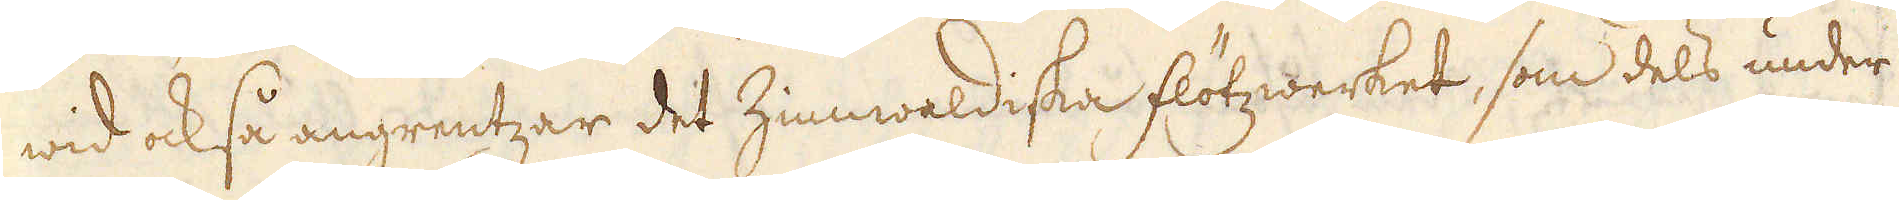wid ock så angrentzar det Zinnwaldiska flötzwerket, som dels under
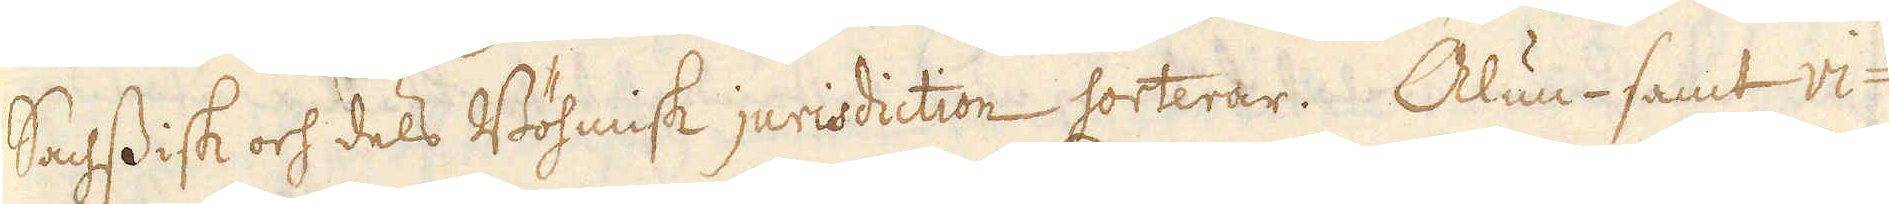Sachsisk och dels Böhmisk jurisdiction sorterar. Alun- samt vi-
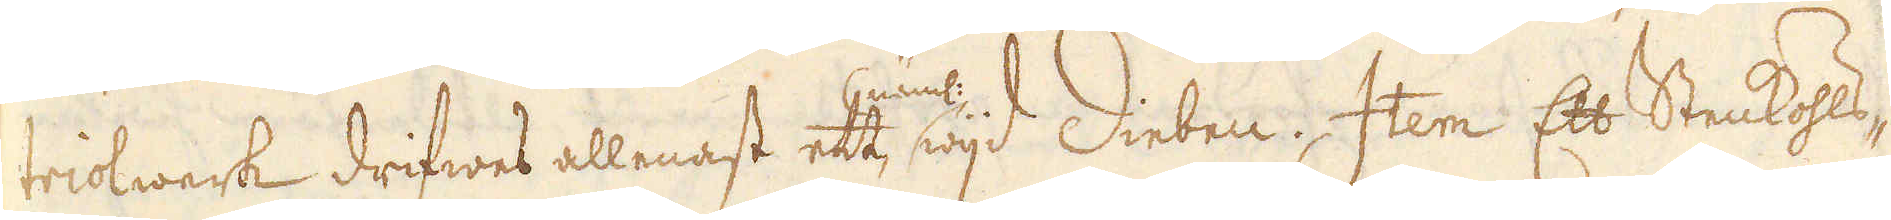triolwerk drifwes allenast ett näml: wijd Diebeu. Item Ett Stenkohls-
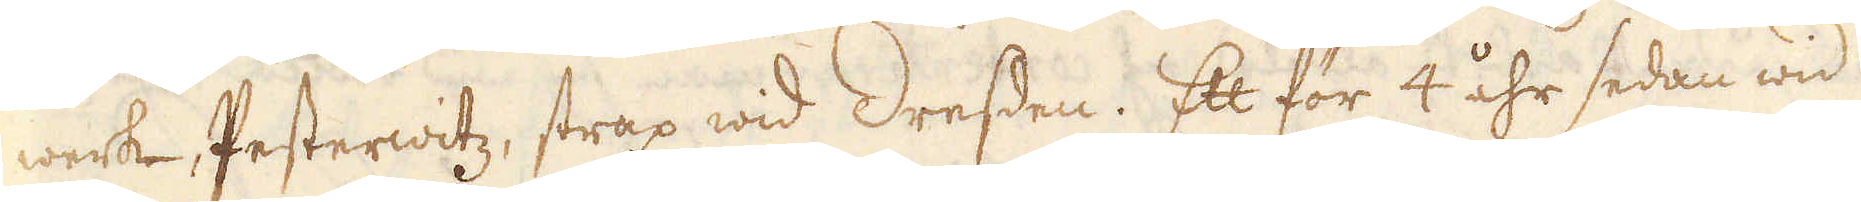werk, Pesterwitz, strax wid Dressen. Ett för 4 åhr sedan wid
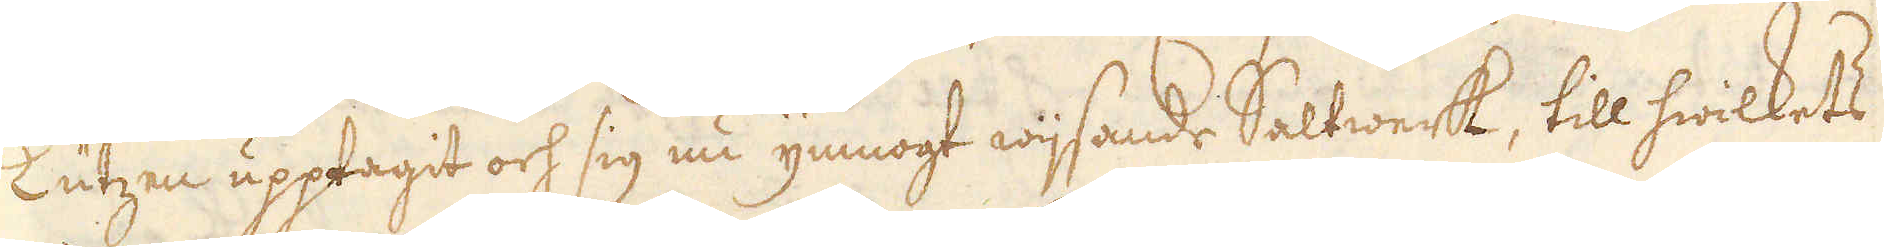Lutzen upptagit och sig nu ymnogt wijsande Saltwerk, till hwilkets
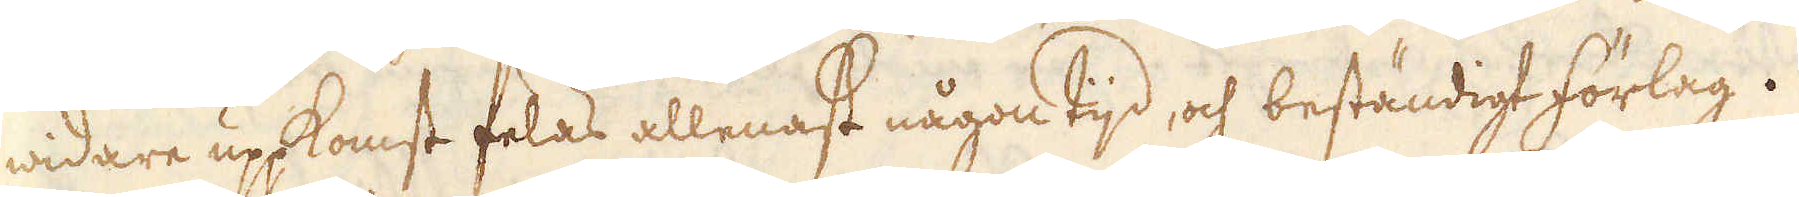widare uppkomst felas allenast någon tijd, och beständigt förlag.
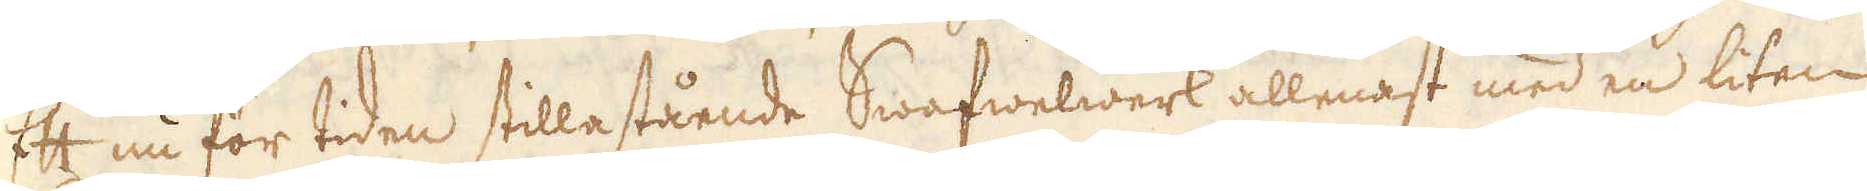Ett nu för tiden stillastående Swafwelwerk allenast med en liten
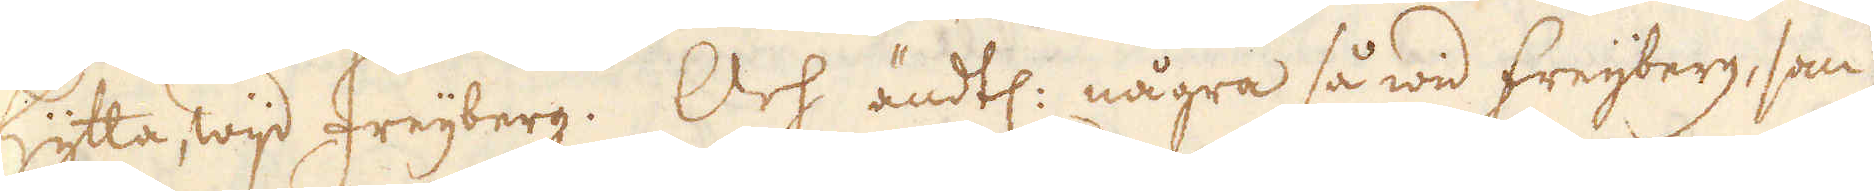hytta, wijd Freijberg. Och ändtl: några så wid freijberg, som
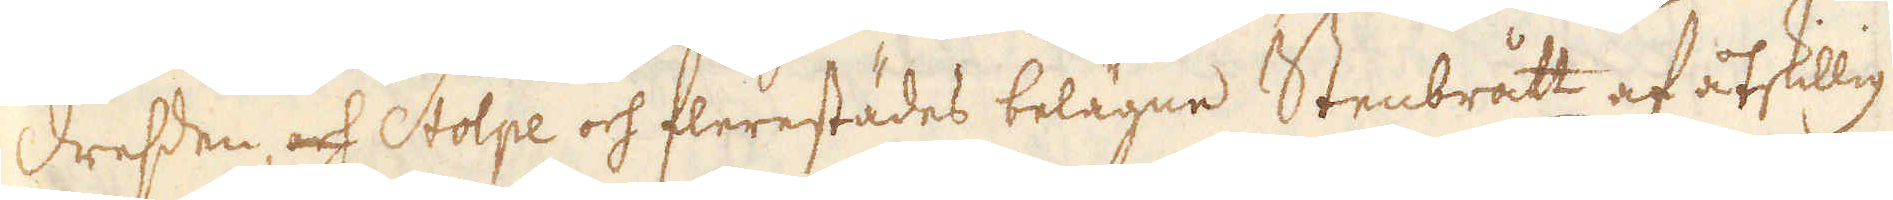Dressen, och Stolpe och flerestädes belägne Stenbrått af åtskillig
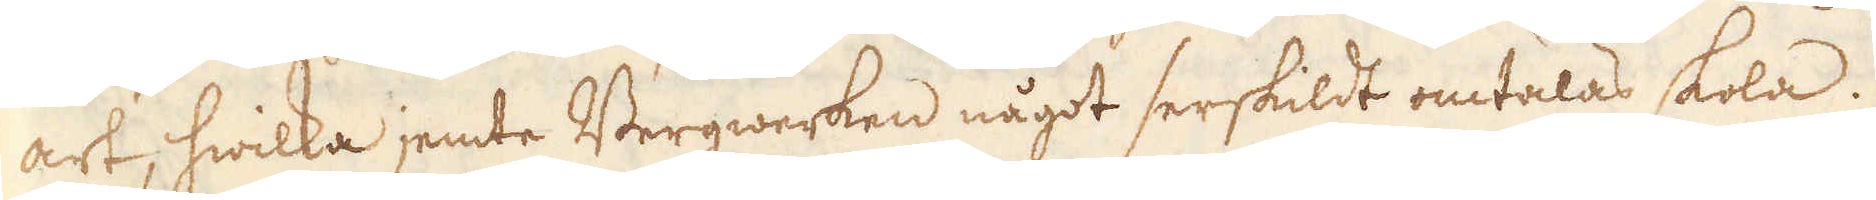art, hwilka jemte Bergwerken något serskildt omtalas skola.
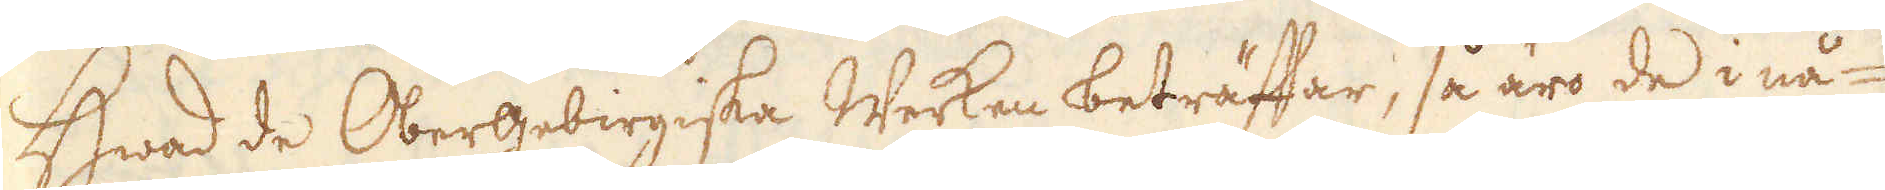Hwad de Obergebirgiska Werken beträffar, så äro de i nå-
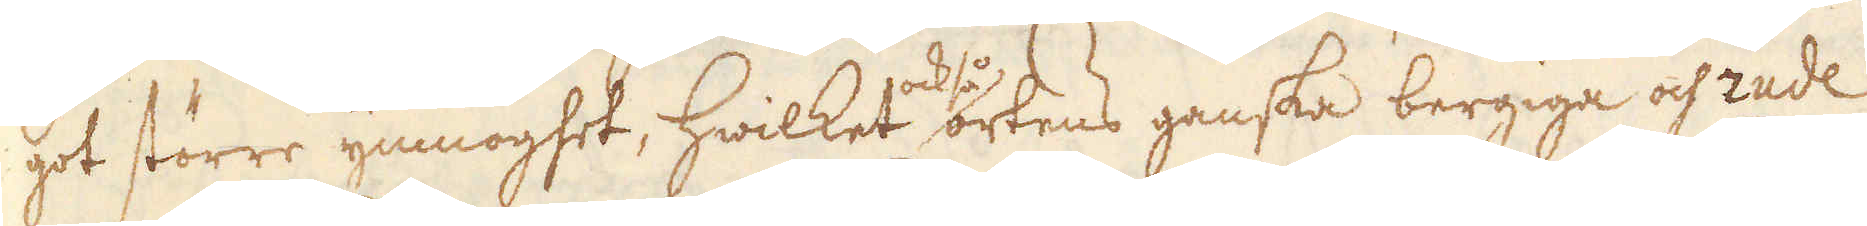got större ymnoghet, hwilket också ortens ganska bergiga och zude
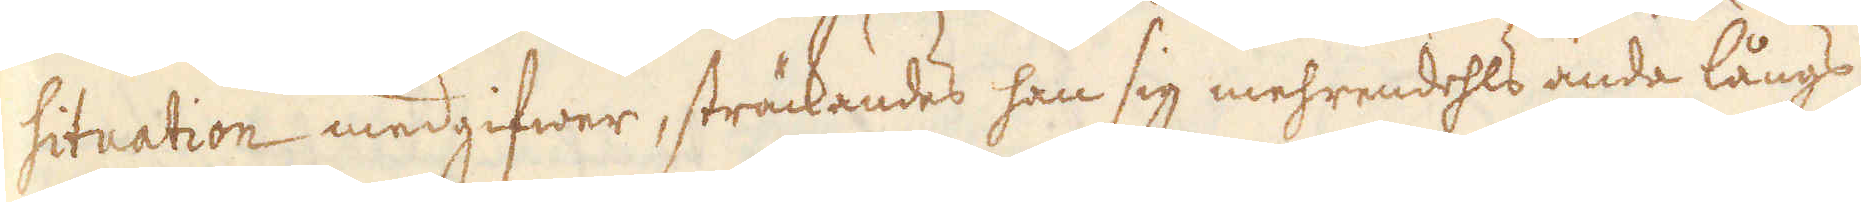situation medgifwer, sträckandes han sig mehrendehls ända långs
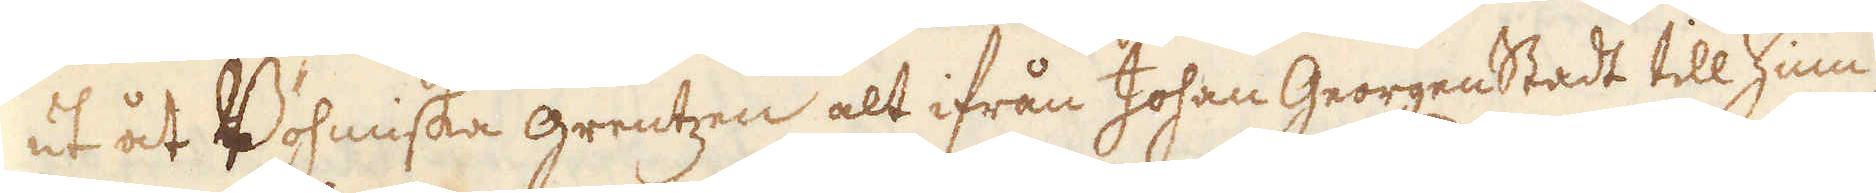ut åt Bohmiska grentzen alt ifrån Johan Georgenstadt till Zinn-
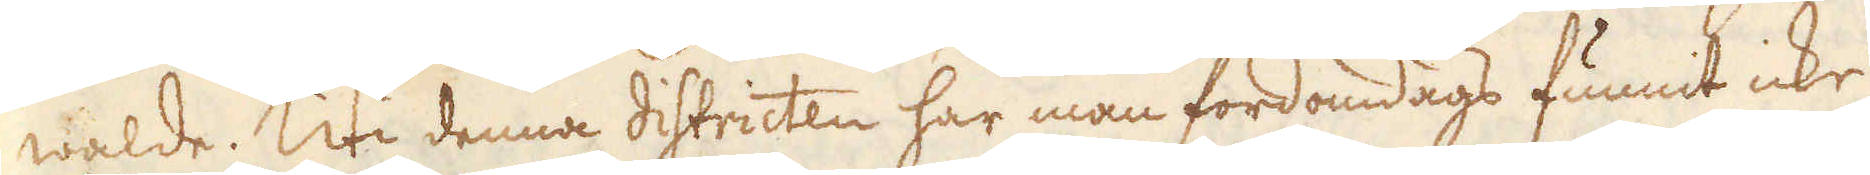walde. Uti denna districten har man fordomdags funnit icke
